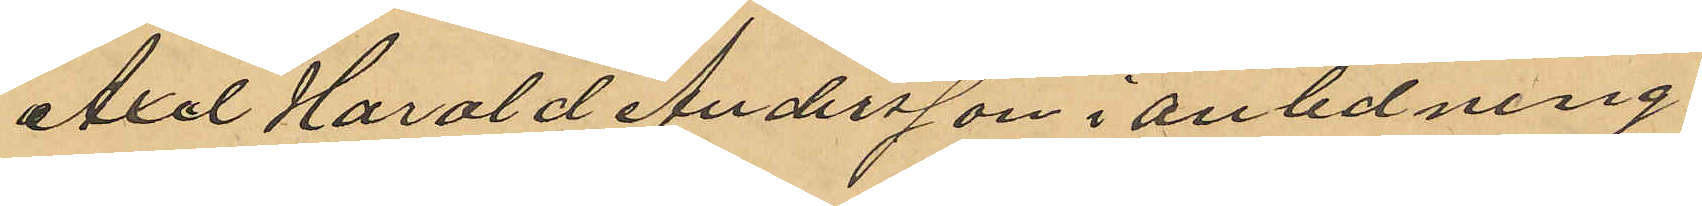Axel Harald Andersson i anledning
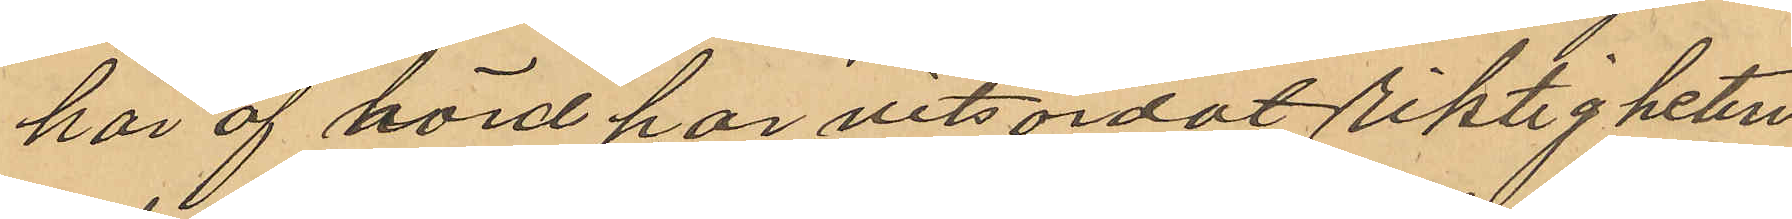häraf hörd har vitsordat riktigheten
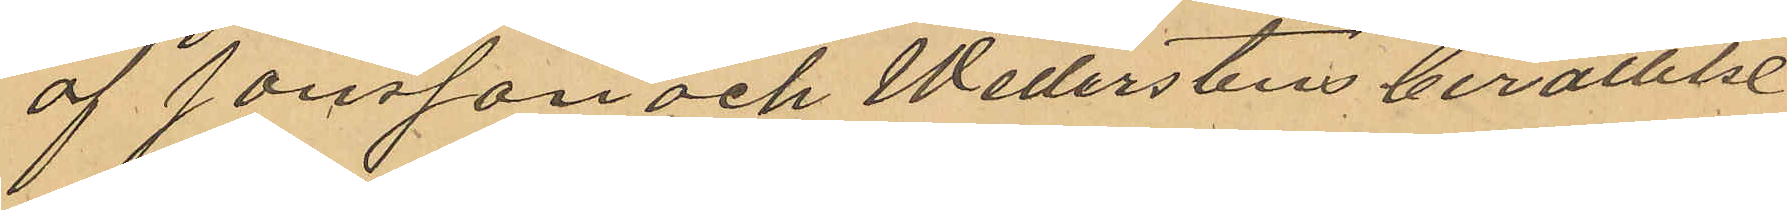af Jonsson och Wetterstens berättelse
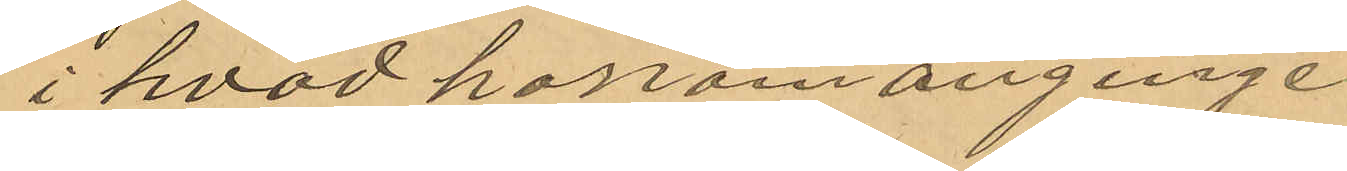i hvad honom anginge.
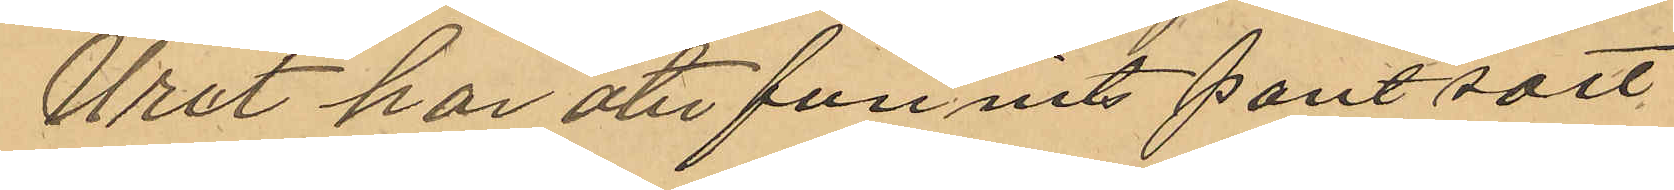Uret har återfunnits pantsatt
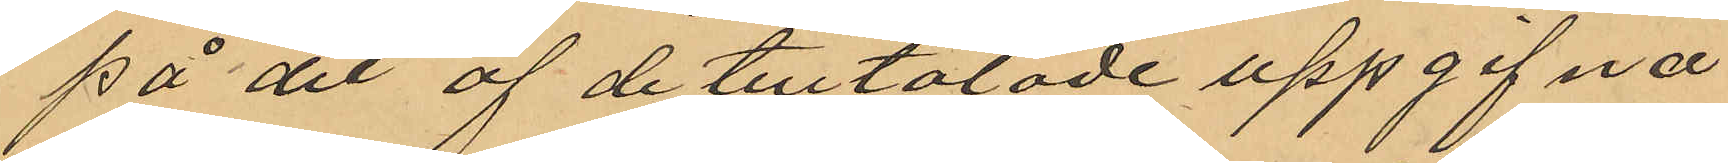på det af de tilltalade uppgifna
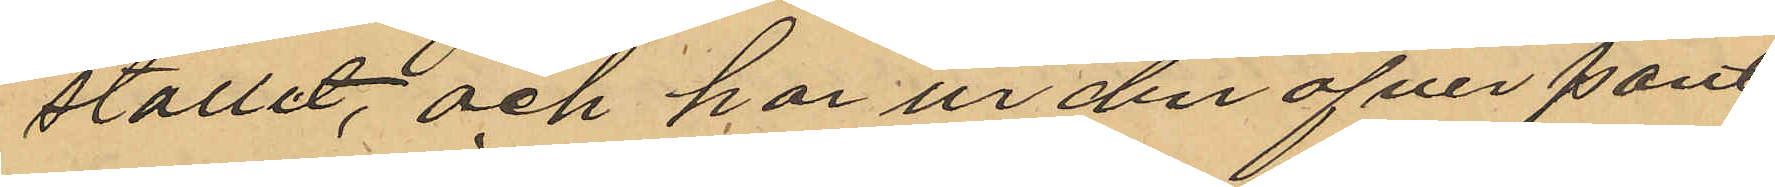stället; och har ur den öfver pant¬
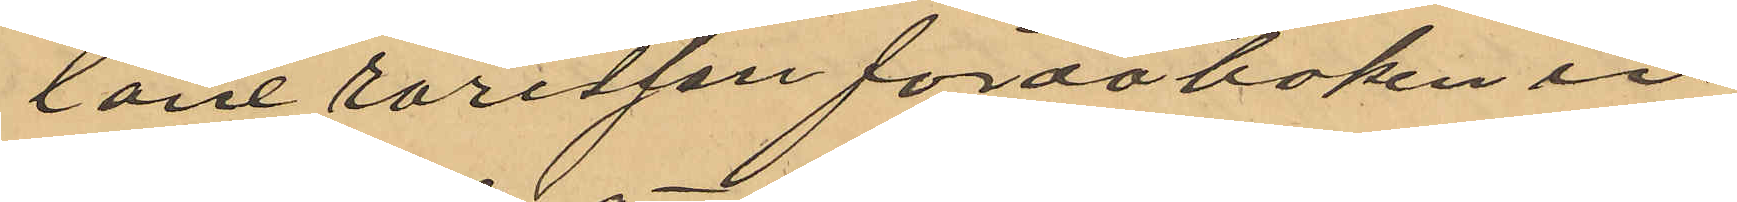lånerörelsen förda boken in¬
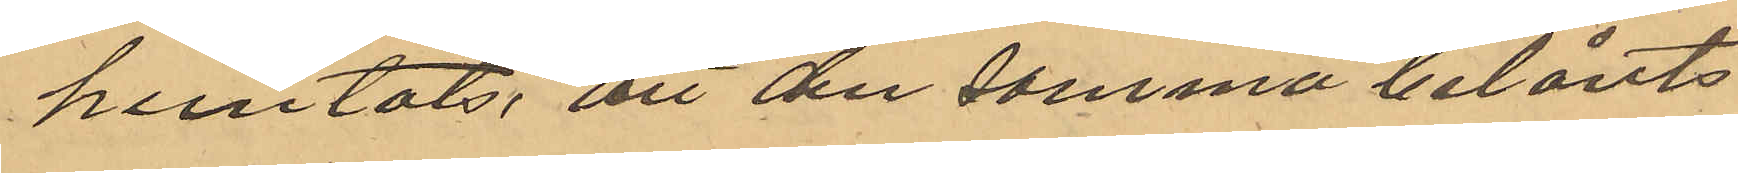hemtats, att den samma belånts
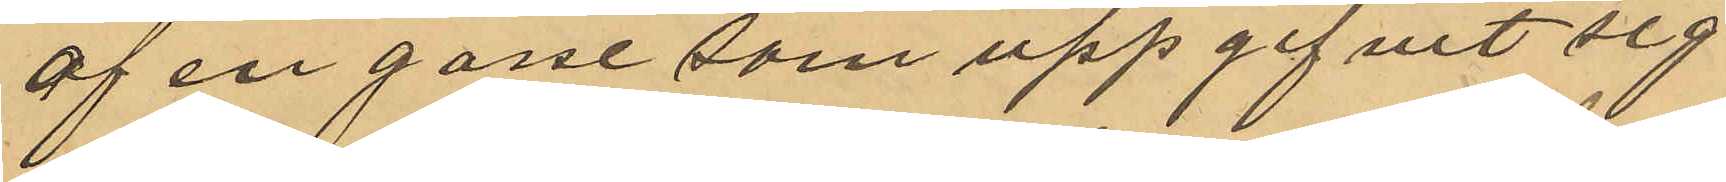af en gosse som uppgifvit sig
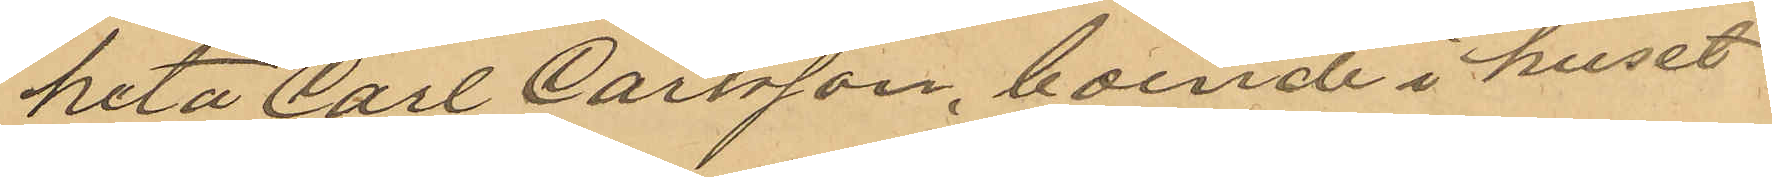heta Carl Carlsson, boende i huset
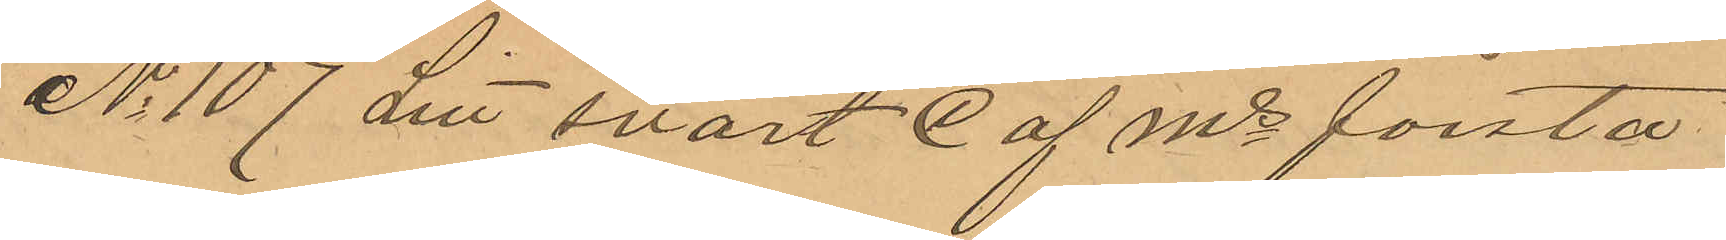No 107 Litt svart C af Ms första
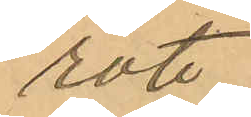rote
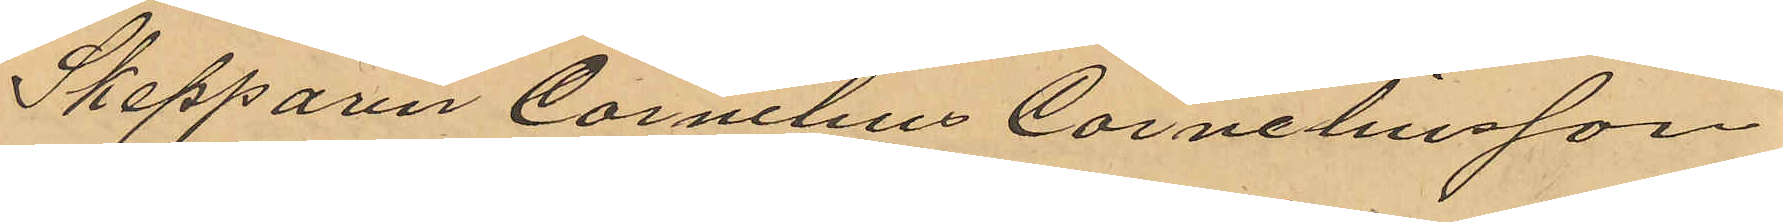Skepparen Cornelius Corneliusson
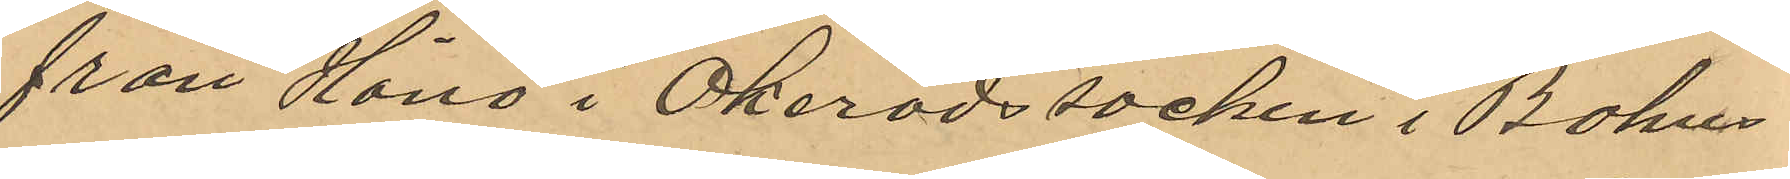från Hönö i Ökeröds socken i Bohus
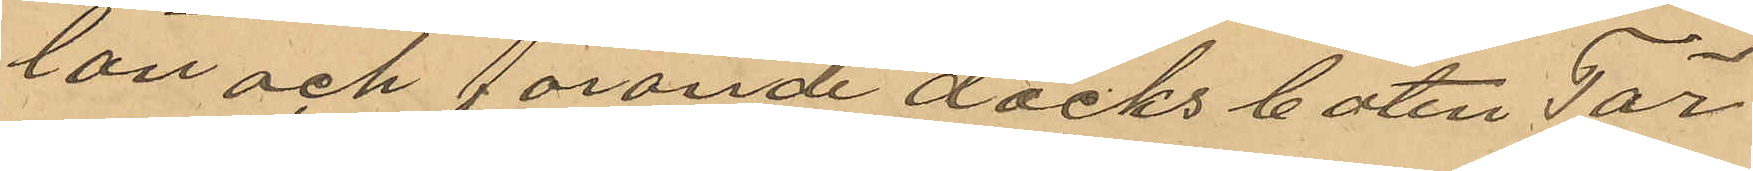län och förande däcksbåten Tär¬
